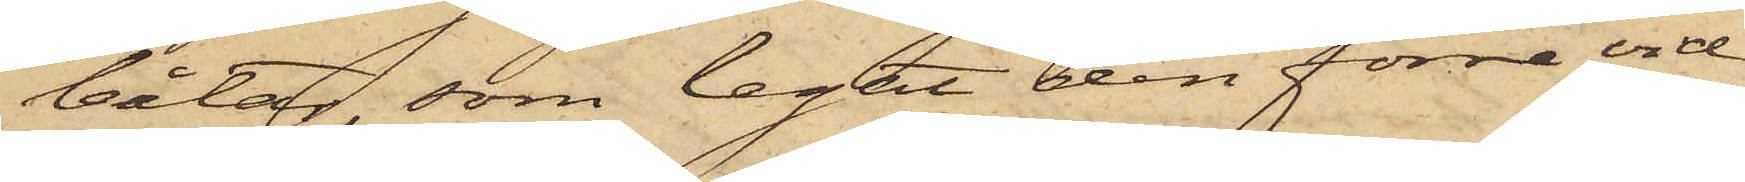båtar, som legat den förre vid
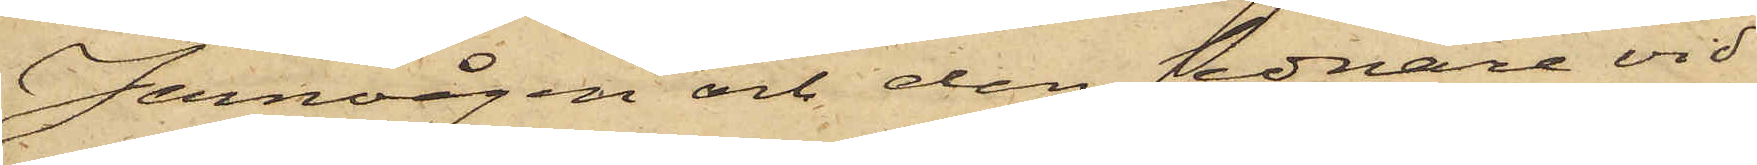Jernvågen och den sednare vid
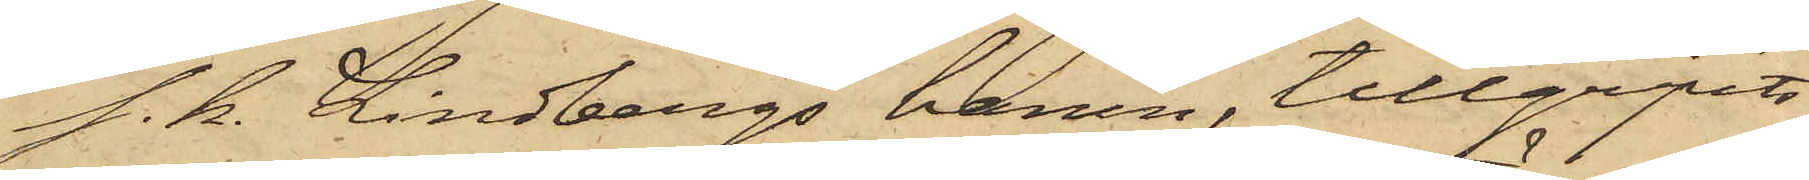s. k. Lindbergs hamn, tillgripits
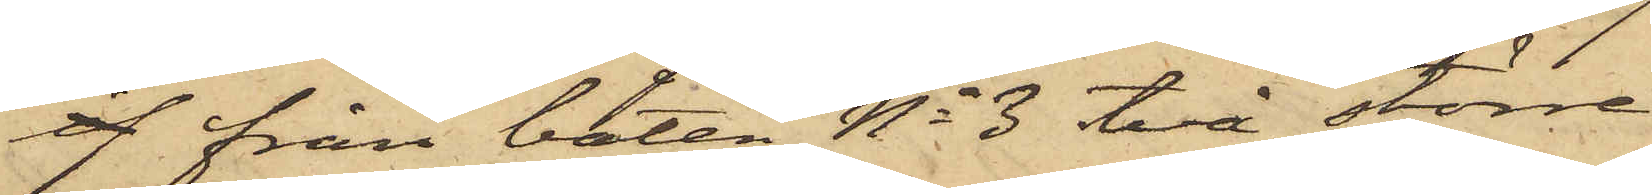af från båten No 3 två större
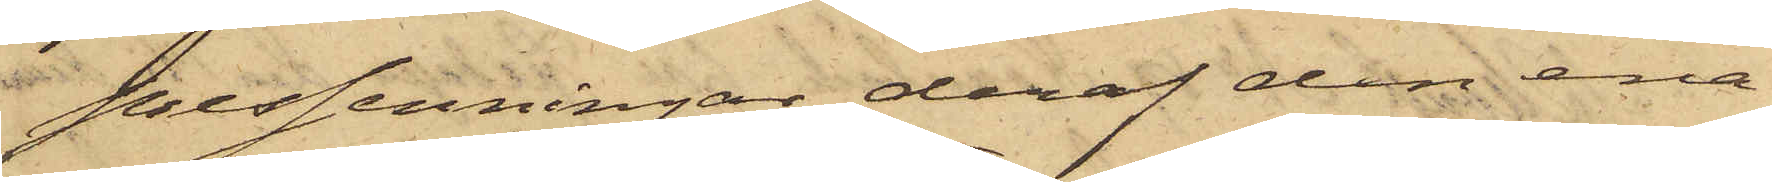pressenningar, deraf den ena
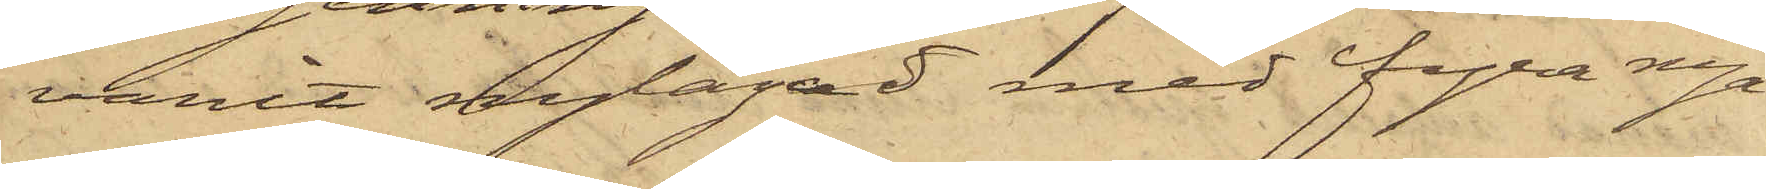varit nylagad med fyra nya
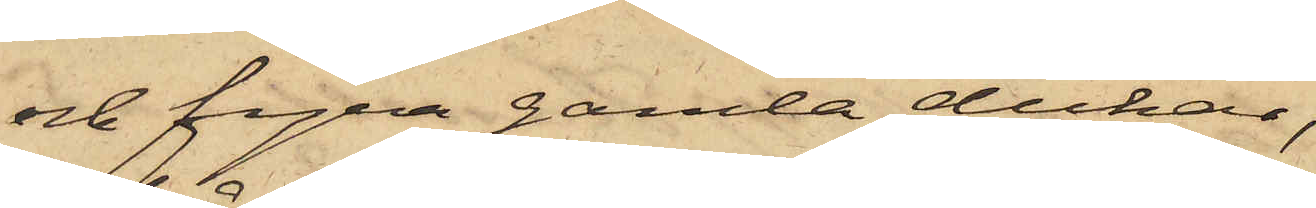och fyra gamla dukar,
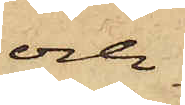och
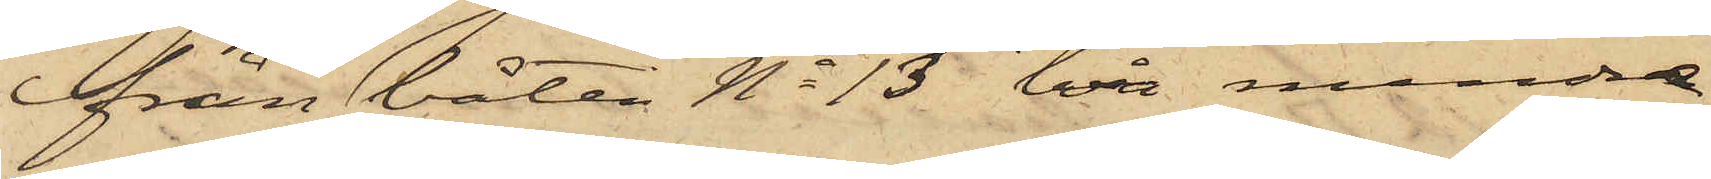från båten No 13 två mindre
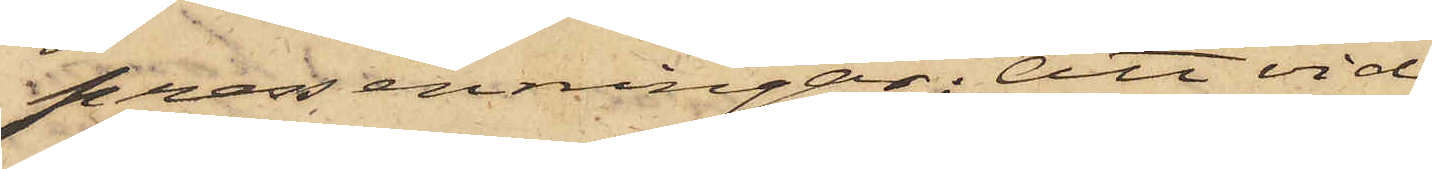pressenningar; Att vid
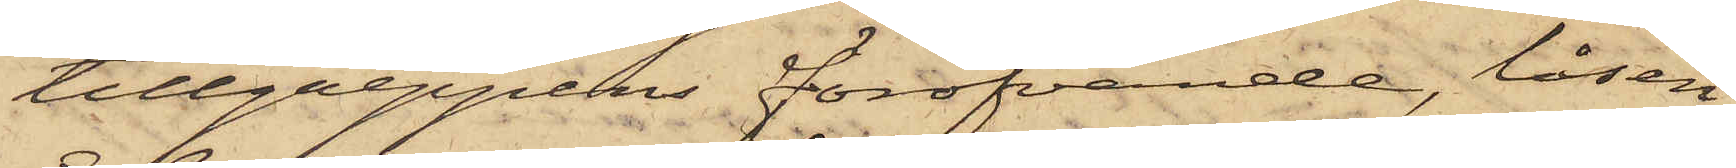tillgreppens föröfvande, låsen
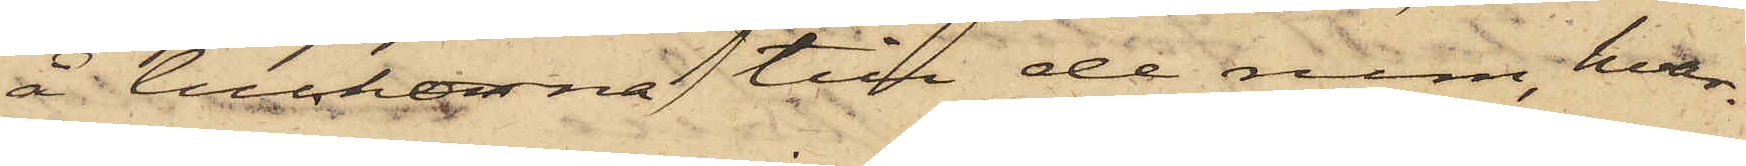å luckorna till de rum, hvar¬
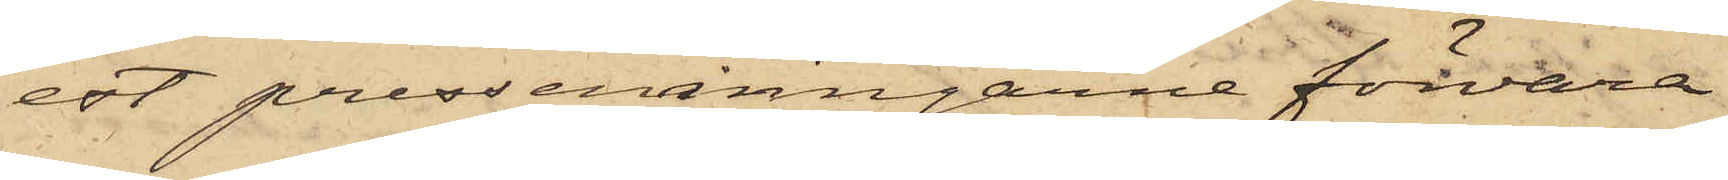est presseningarne förvara¬
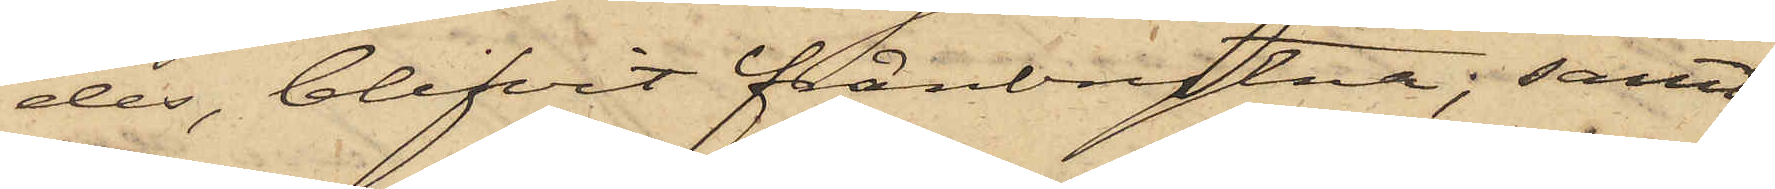des, blifvit frånbrytna; samt
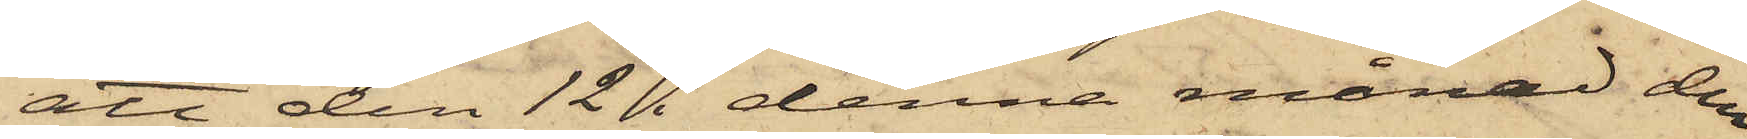att den 12 i denna månad den
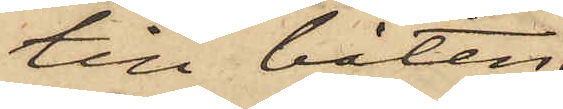till båten
